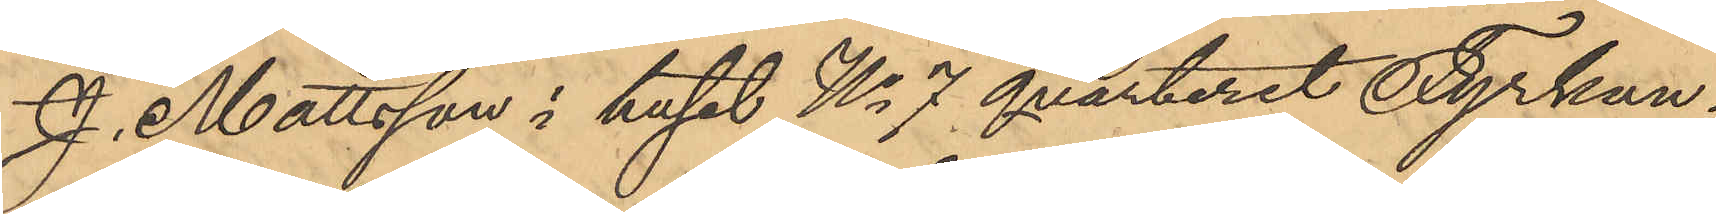J. Mattsson i huset No 7 qvarteret Fyrkan¬
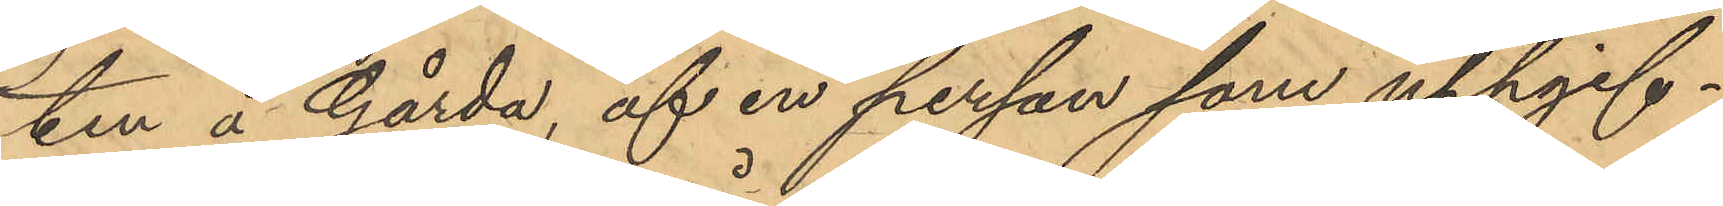ten å Gårda, af en person som uppgif¬
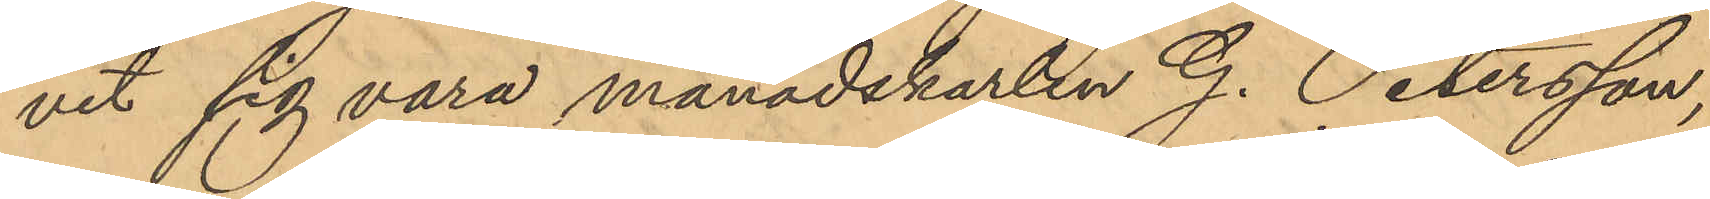vit sig vara månadskarlen G. Petersson,
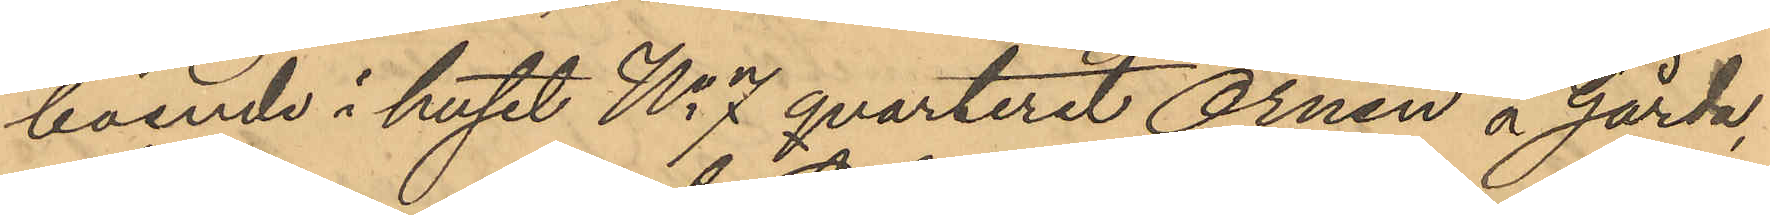boende i huset No 7 qvarteret Örnen å Gårda,
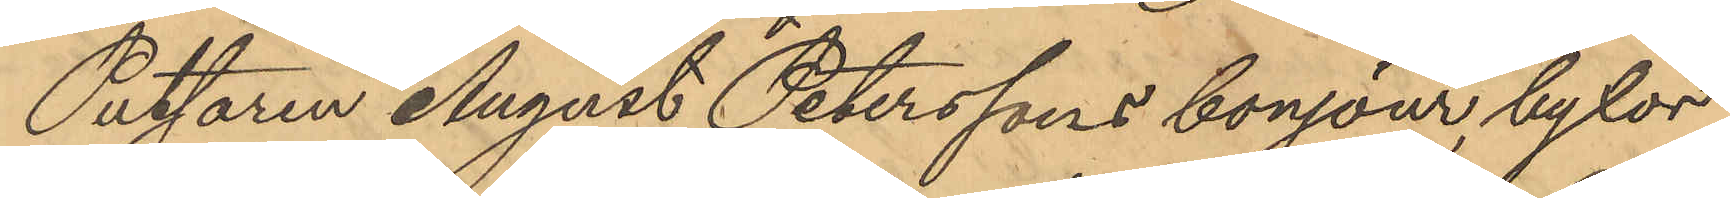Rättaren August Peterssons bonjour, byxor
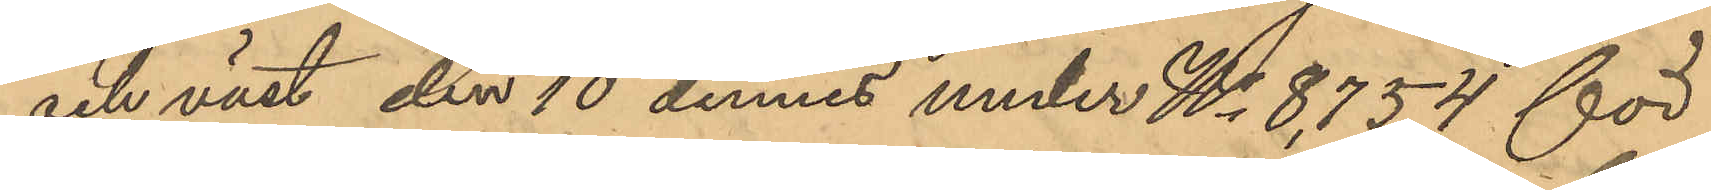och väst, den 10 dennes under No 8,754 för
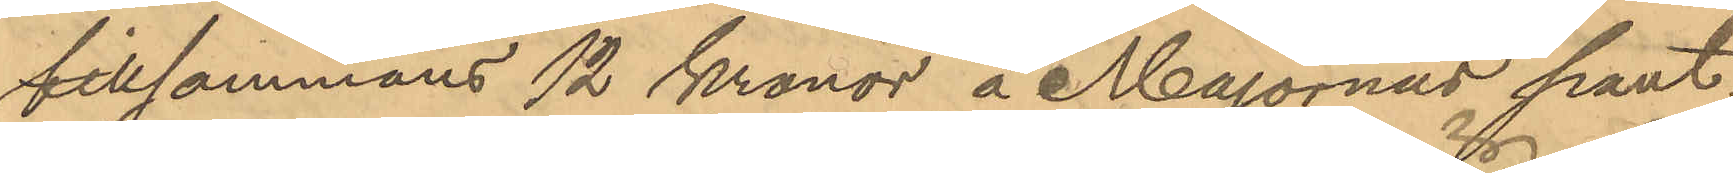tillsammans 12 Kronor å Majornas pant¬
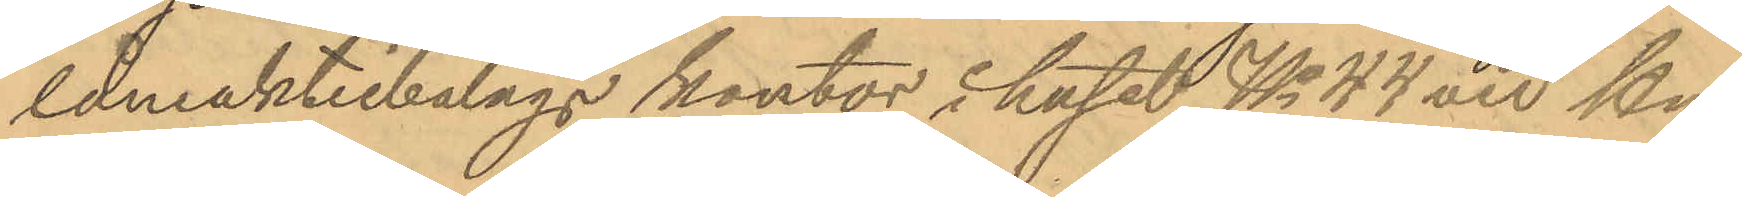låneaktiebolags kontor i huset No 44 vid Hu¬
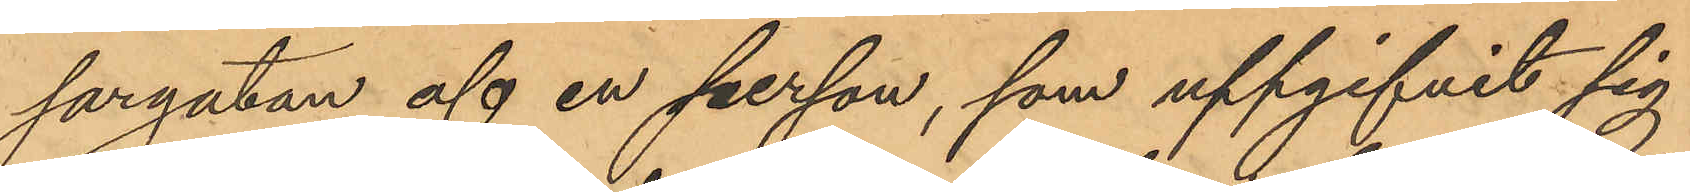sargatan af en person, som uppgifvit sig
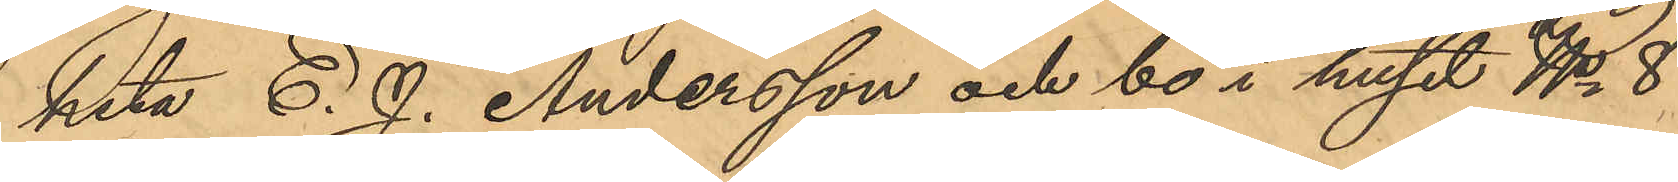heta C. J. Andersson och bo i huset No 8
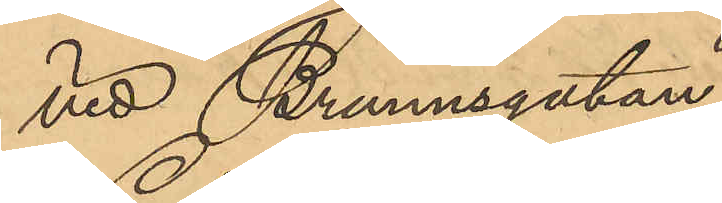vid Brunnsgatan,
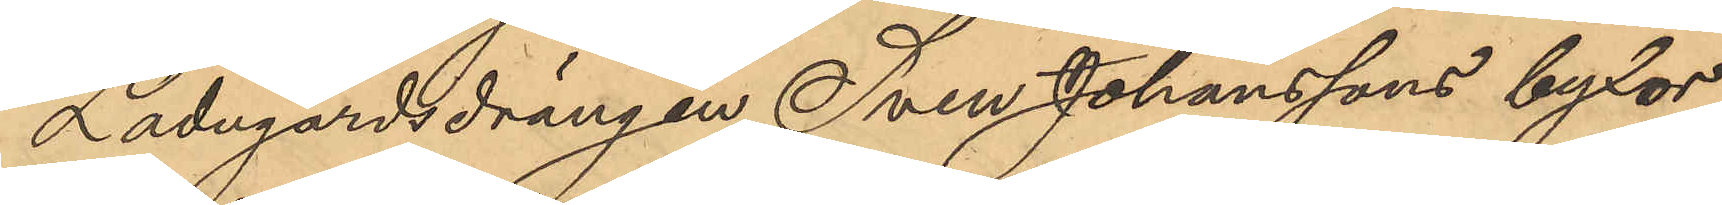Ladugårdsdrängen Sven Johanssons byxor
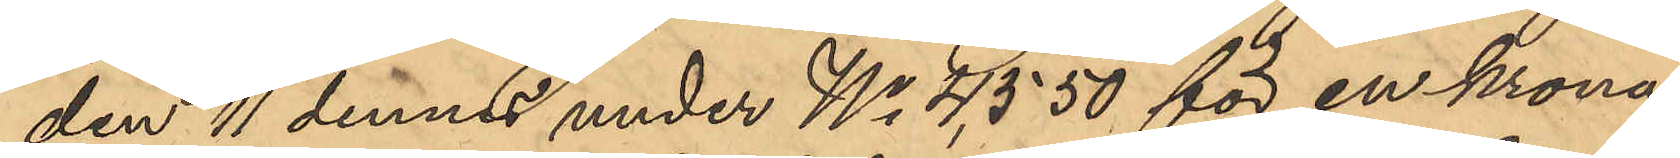den 11 dennes under No 4,550 för en krona
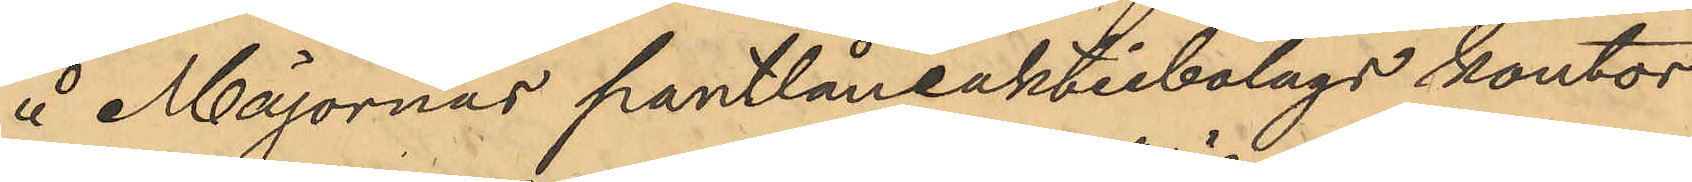å Majornas pantlåneaktiebolags kontor
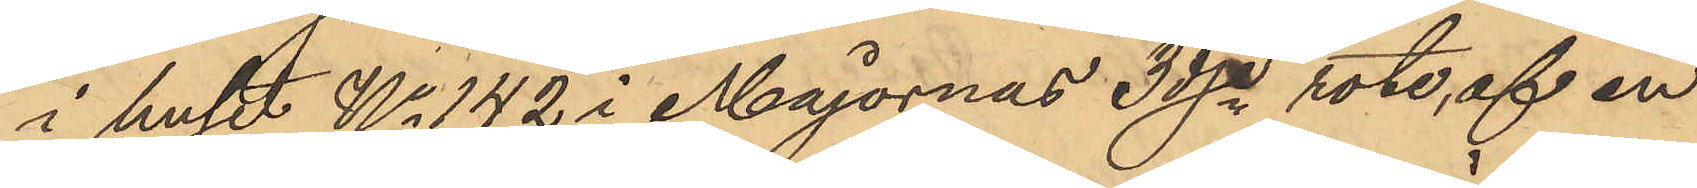i huset No 142 i Majornas 3dje rote, af en
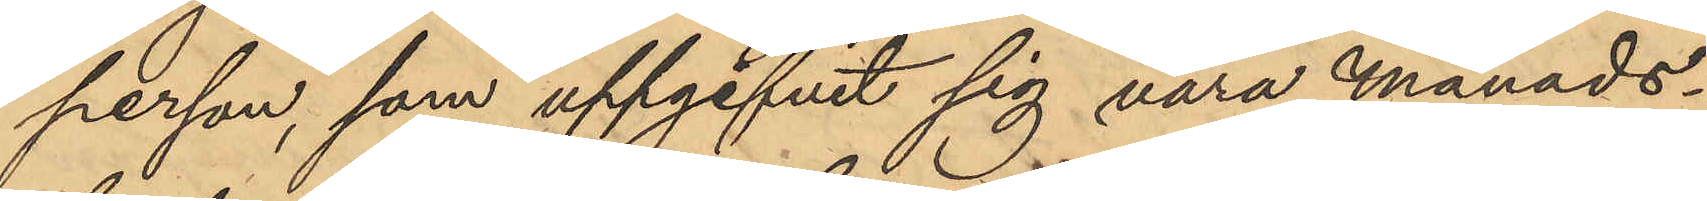person, som uppgifvit sig vara Månads¬
